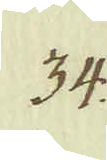34.
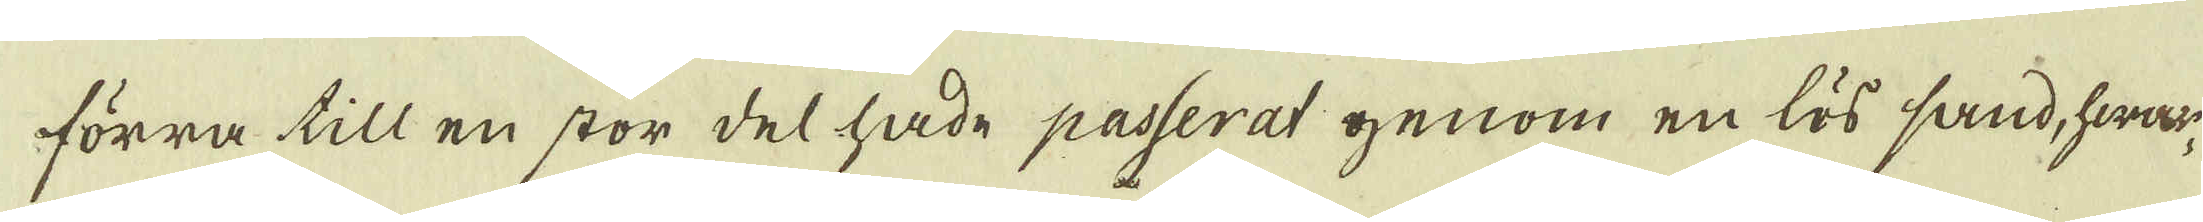förra till en stor del hade passerat genom en lös sand, hwar-
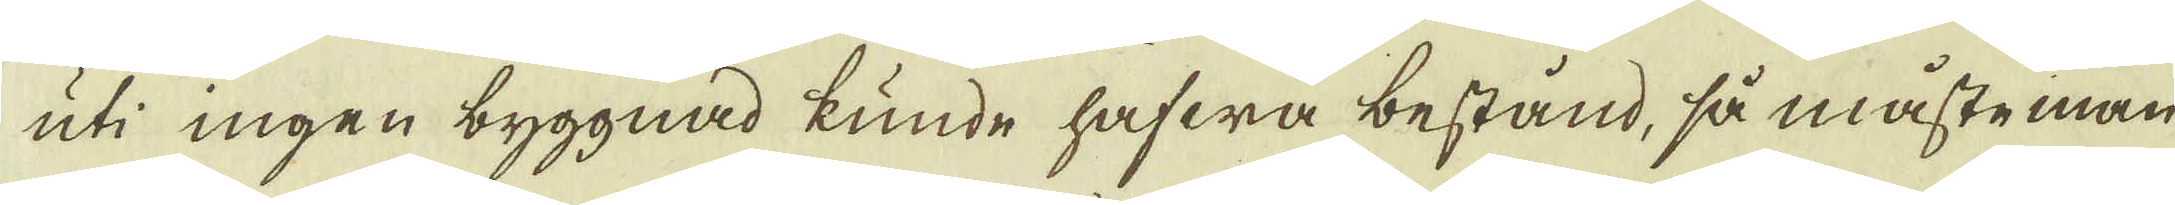uti ingen byggnad kunde hafwa bestånd, så måste man
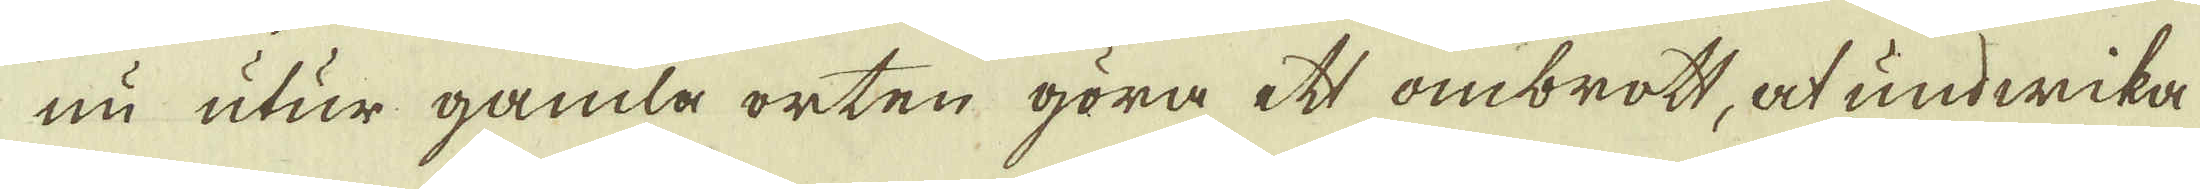nu utur gamla orten göra ett ombrott, at undwika
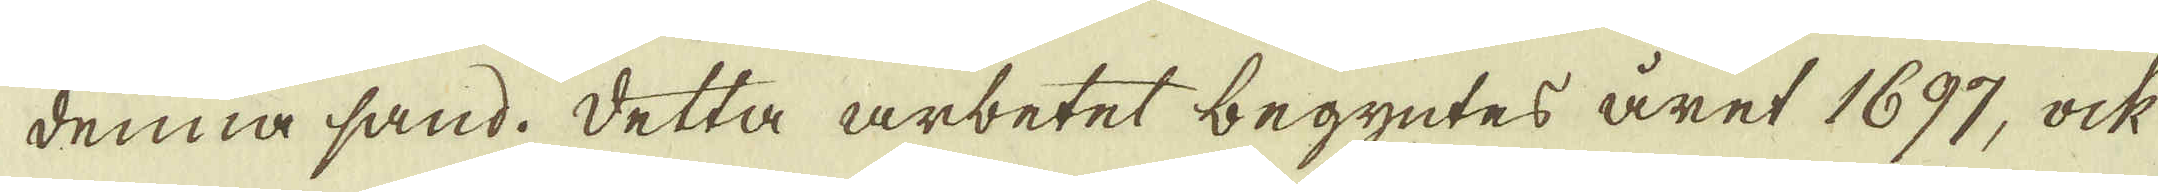denna sand. Detta arbetet begyntes året 1697, ock
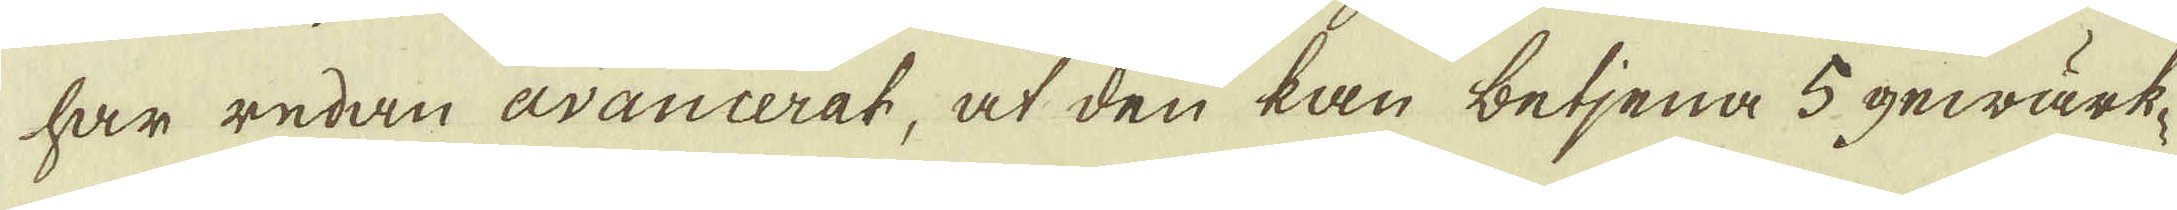har redan avancerat, at den kan betjena 5 gewärk-
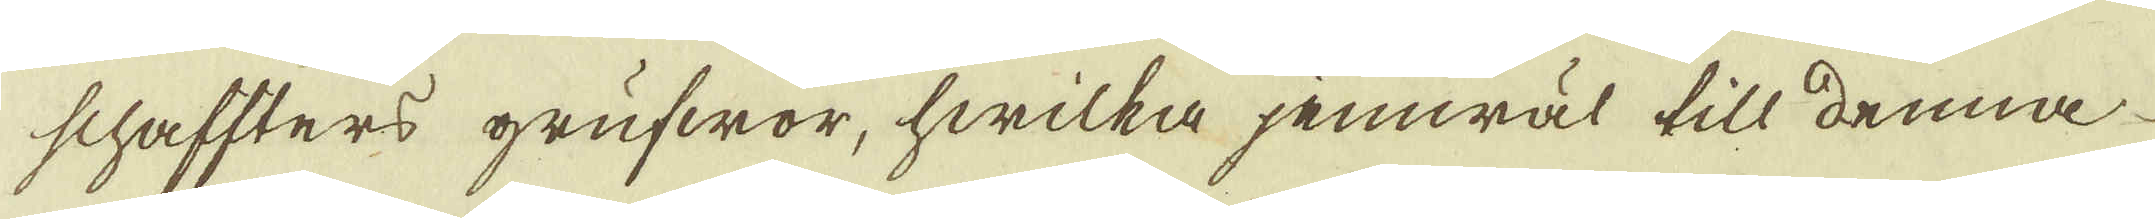schaffters grufwor, hwilka jemwäl till denna
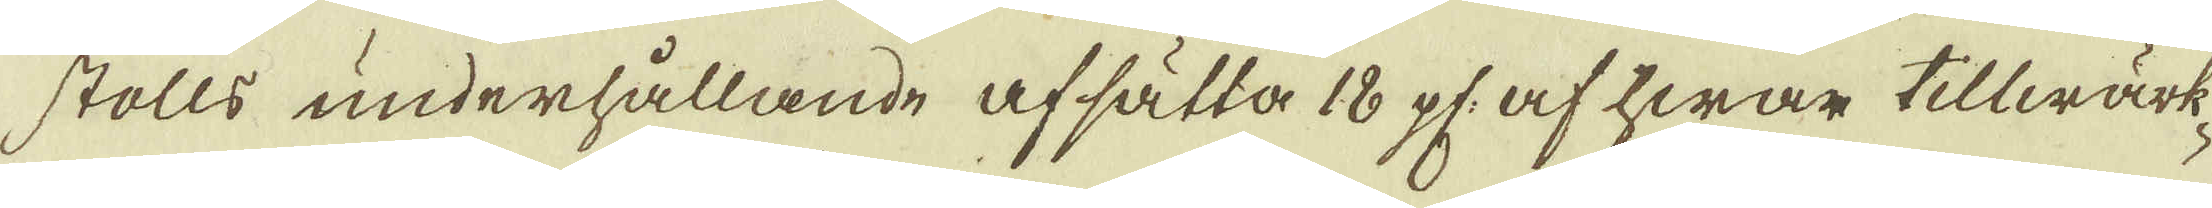stolls underhållande afsätta 18 pl: af hwar tillwärk-
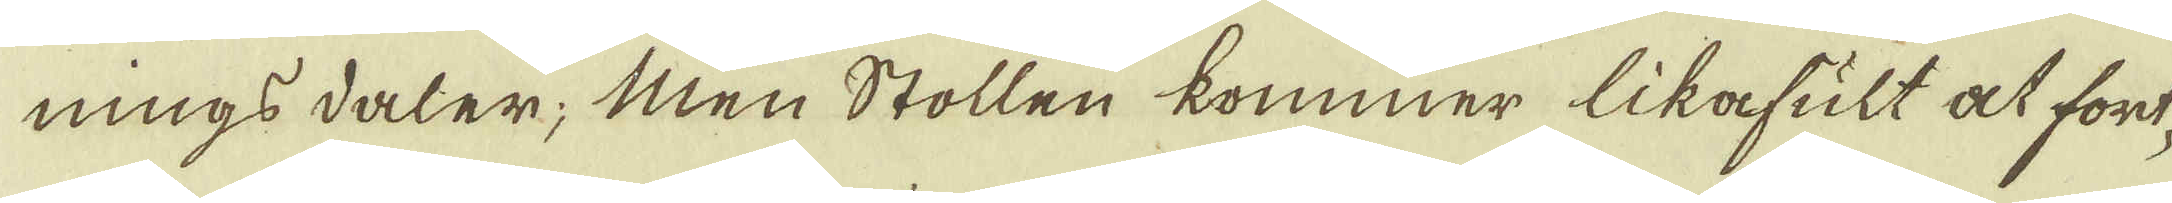nings daler; Men Stollen kommer likafult at fort-
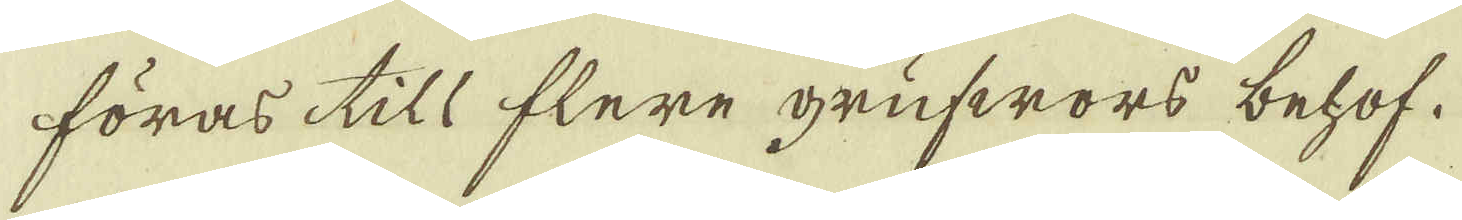föras till flere grufwors behof.
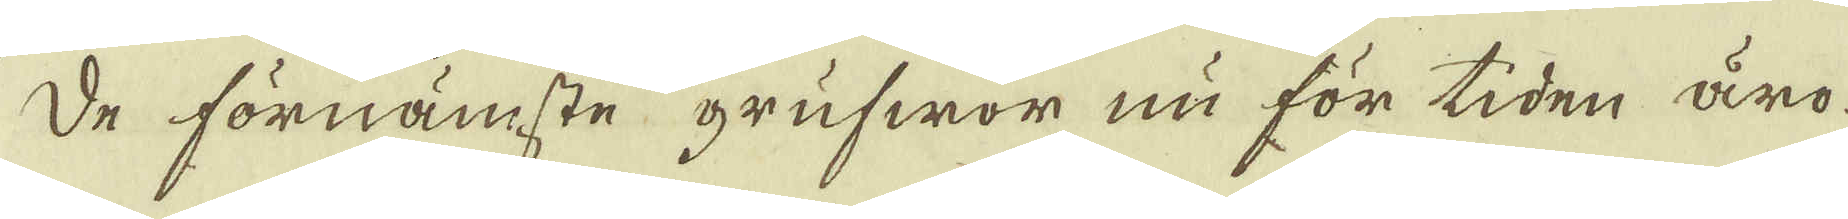De förnämste grufwor nu för tiden äro
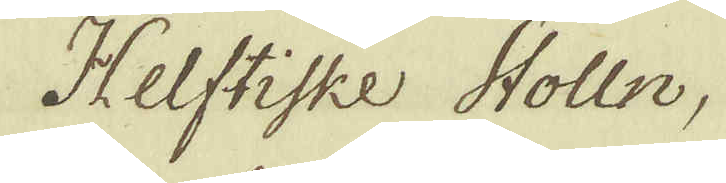Helstiske Stolln,
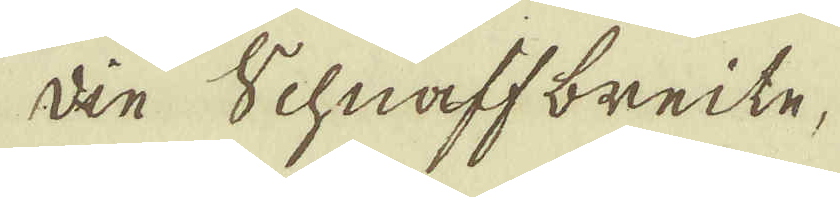die Schnaff breite,
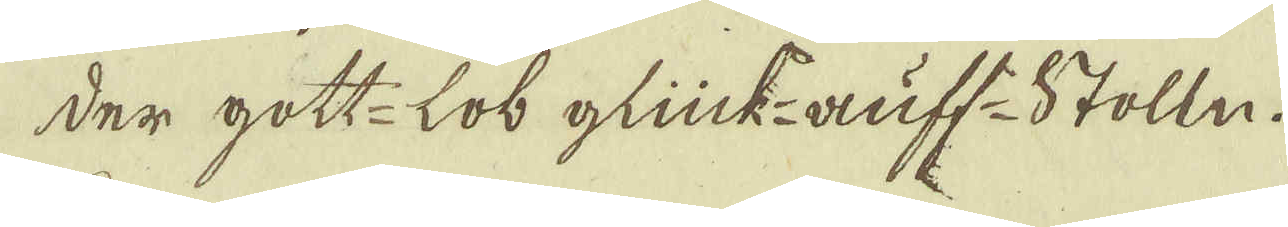der gott-Lob glück-auff-Stolln.
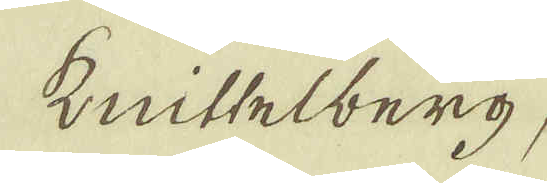Knittelberg,
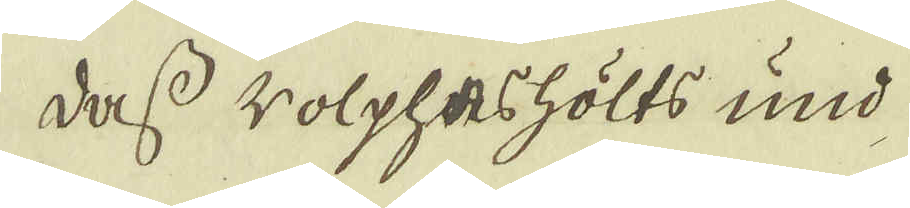dass Wolpheshölts und
